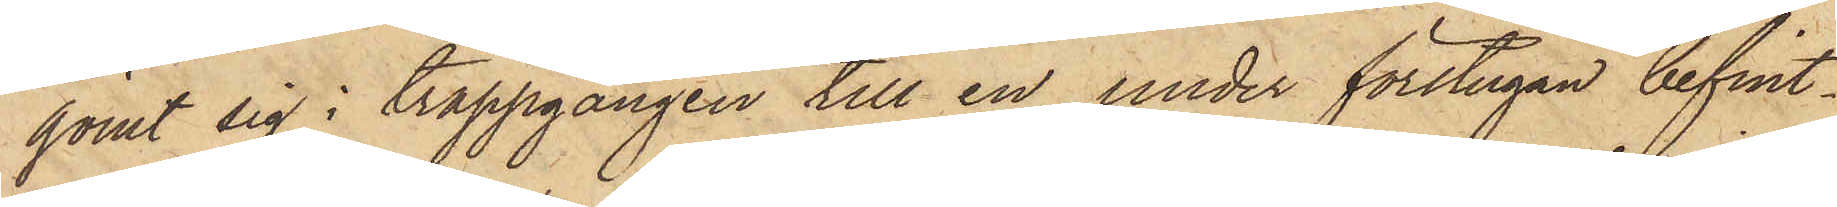gömt sig i trappgången till en under förstugan befint¬
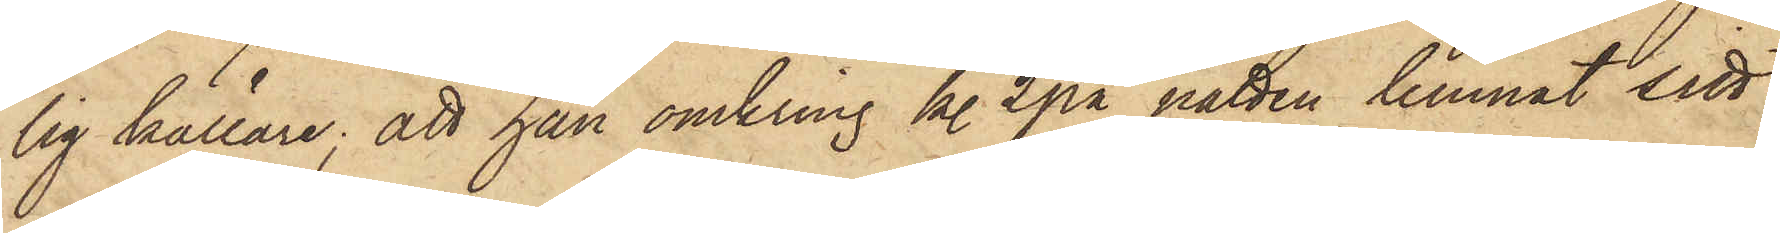lig källare; att han omkring kl. 2 på natten lemnat sitt
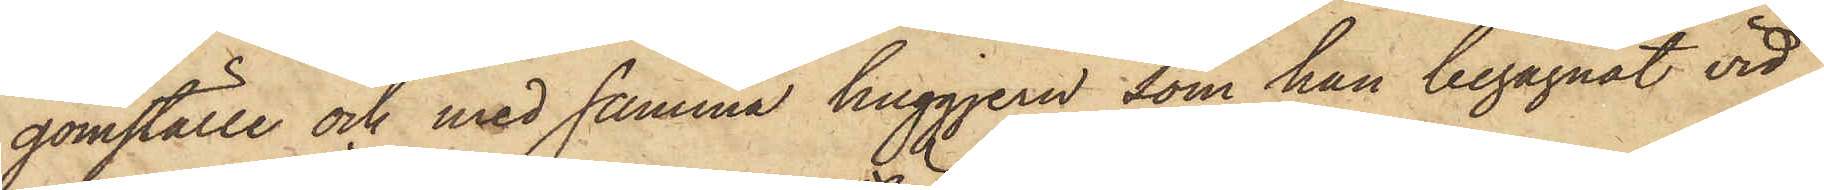gömställe och med samma huggjern, som han begagnat vid
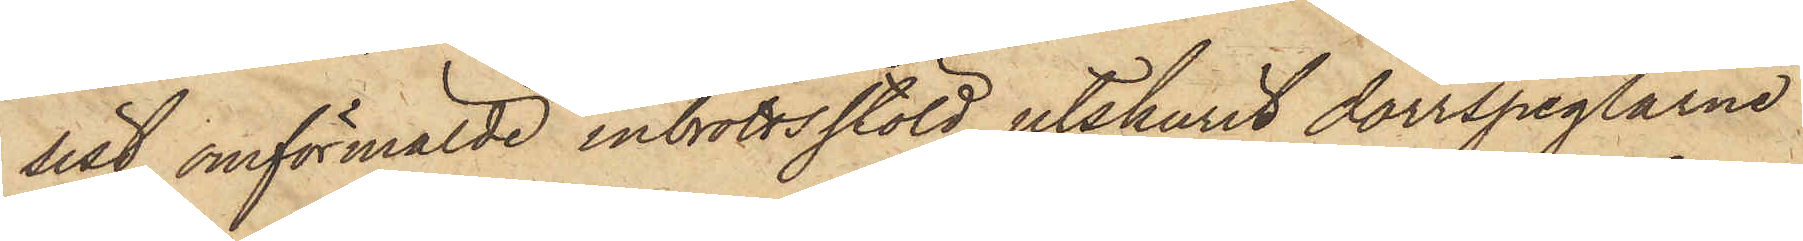sist omförmälde inbrottsstöld, utskurit dörrspeglarne
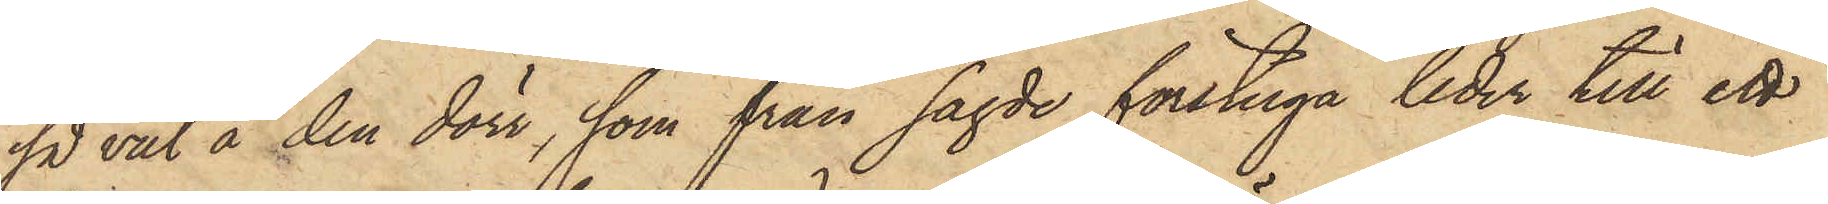så väl å den dörr, som från sagde förstuga leder till ett
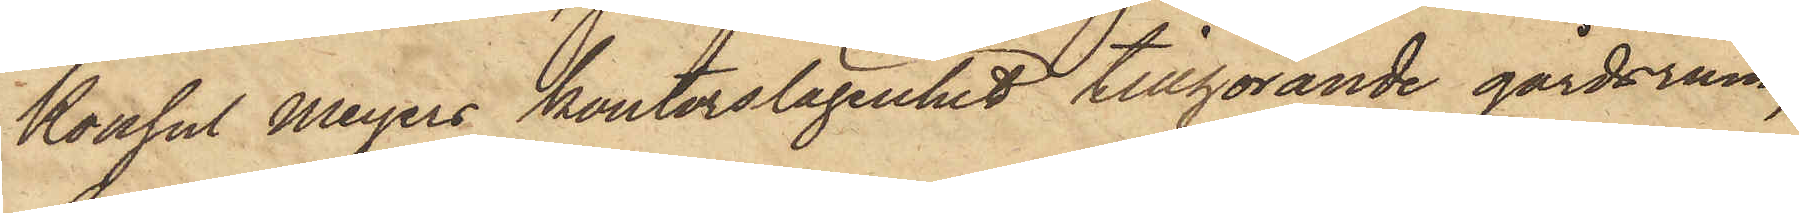Konsul Meyers kontorslägenhet tillförande gårdsrum,
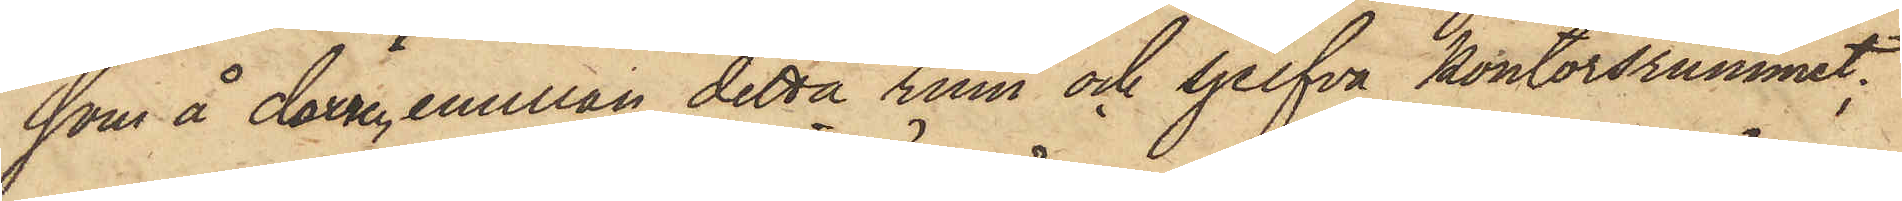som å dörren emellan detta rum och sjelfva kontorsrummet;
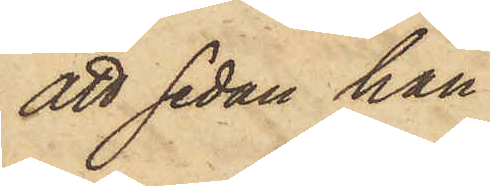att sedan han
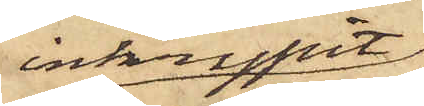inkrupit
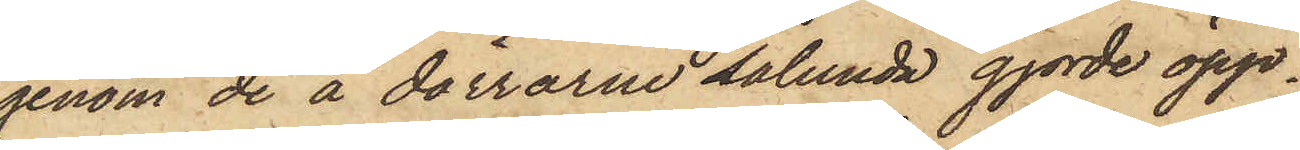genom de å dörrarne sålunda gjorde öpp¬
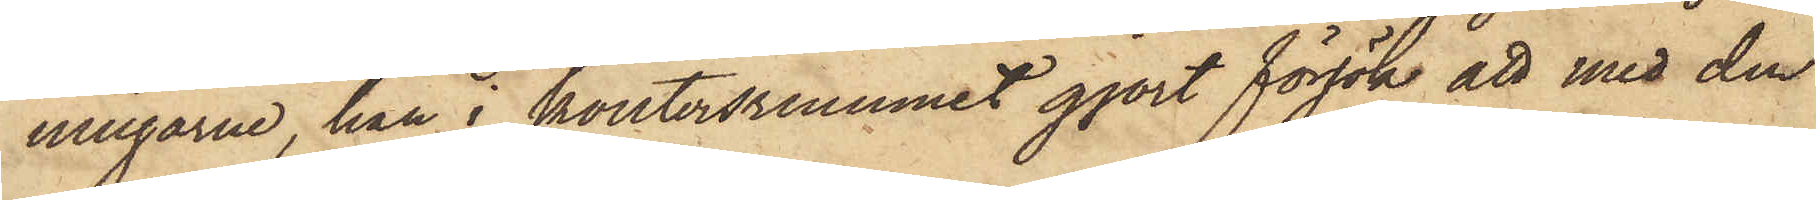ningarne, han i kontorsrummet gjort försök att med den
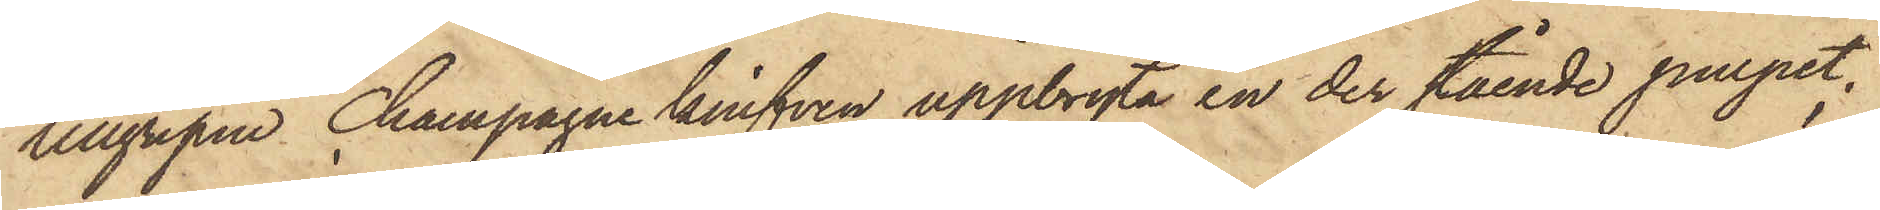tillgripne champagne knifven uppbryta en der stående pulpet;
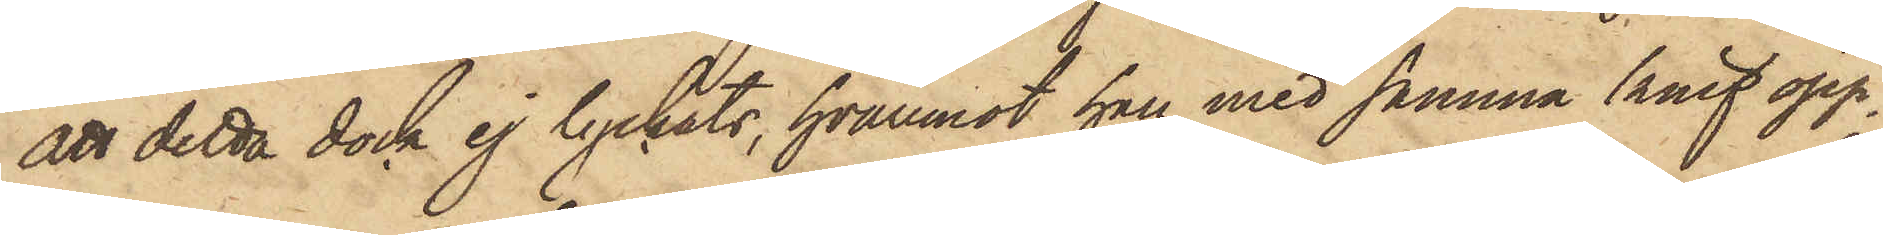att detta dock ej lyckats, hvaremot han med samma knif öpp¬
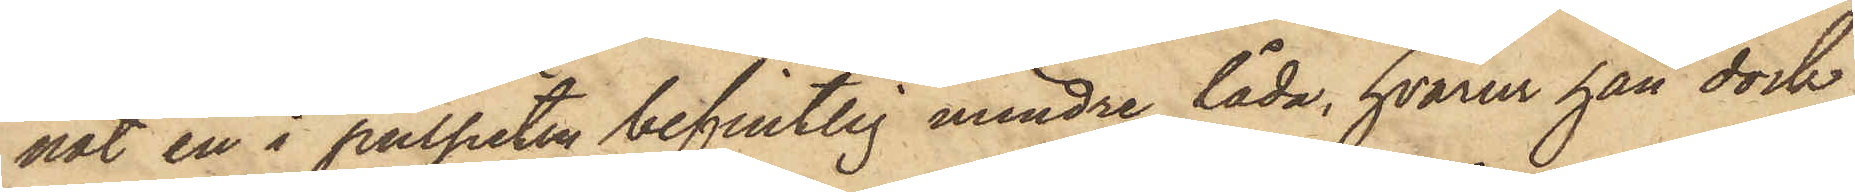nat en i pulpeten befintlig mindre låda, hvarur han dock
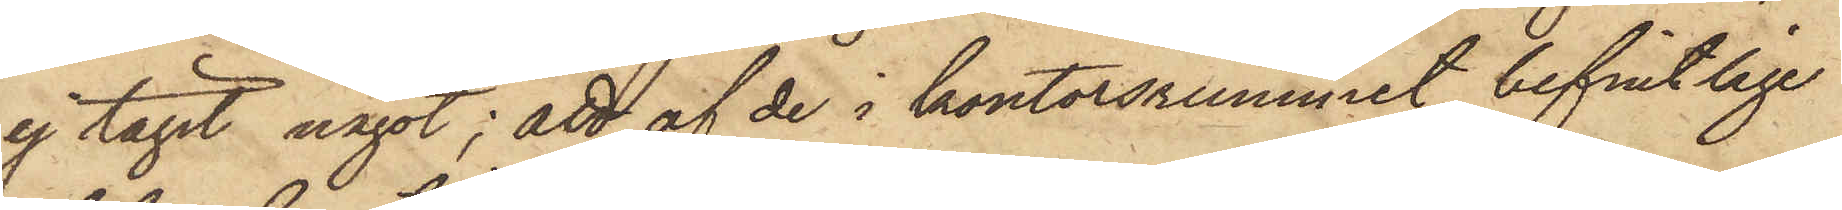ej tagit något; att af de i kontorsrummet befintlige
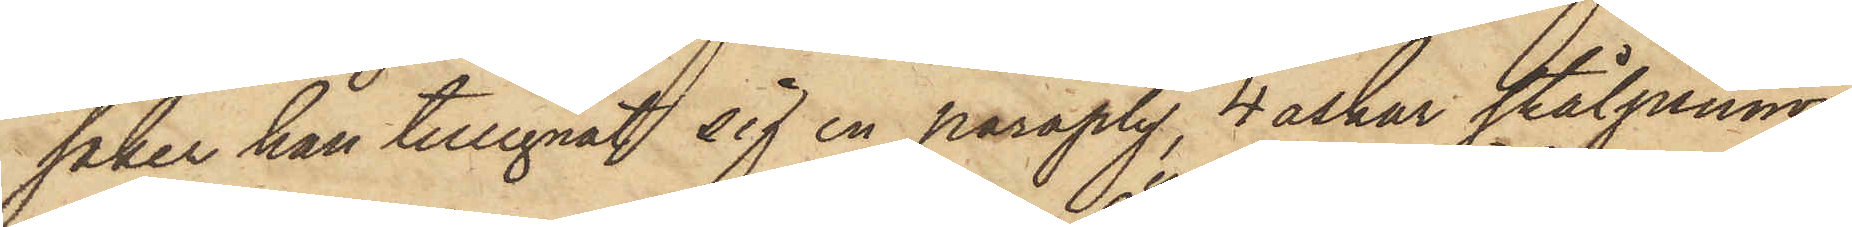saker han tillegnat sig en paraply, 4 askar stålpennor
